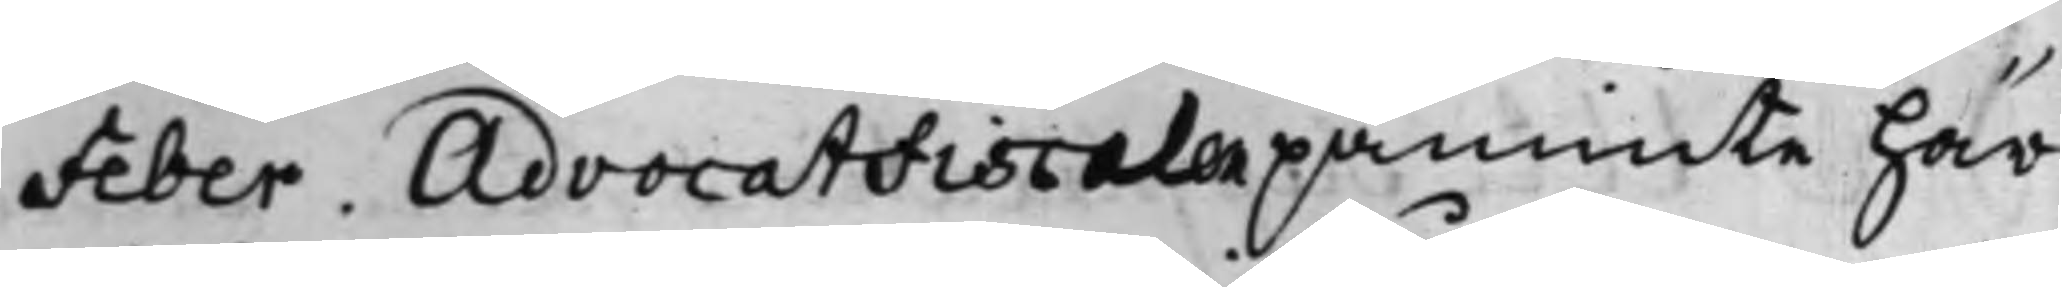Feber. AdvocatFiscalen påminte här¬
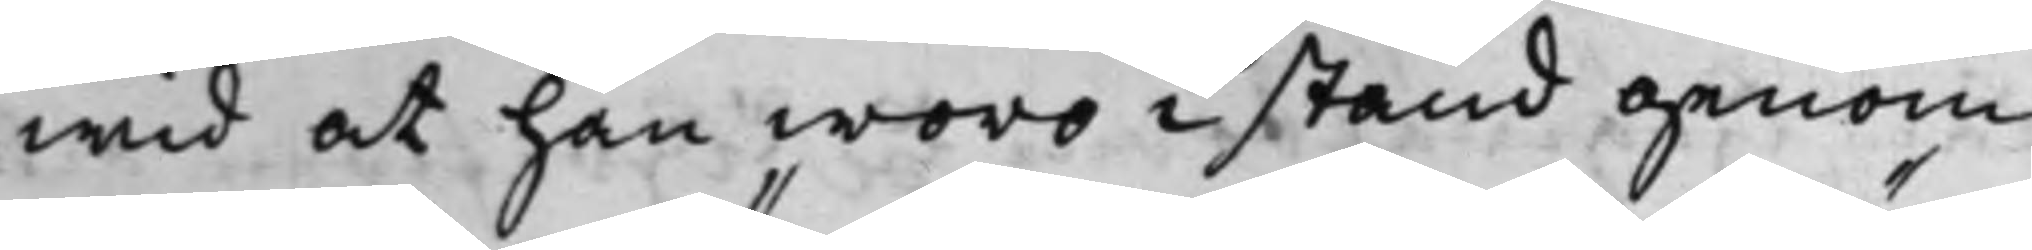wid at han woro i stånd genom
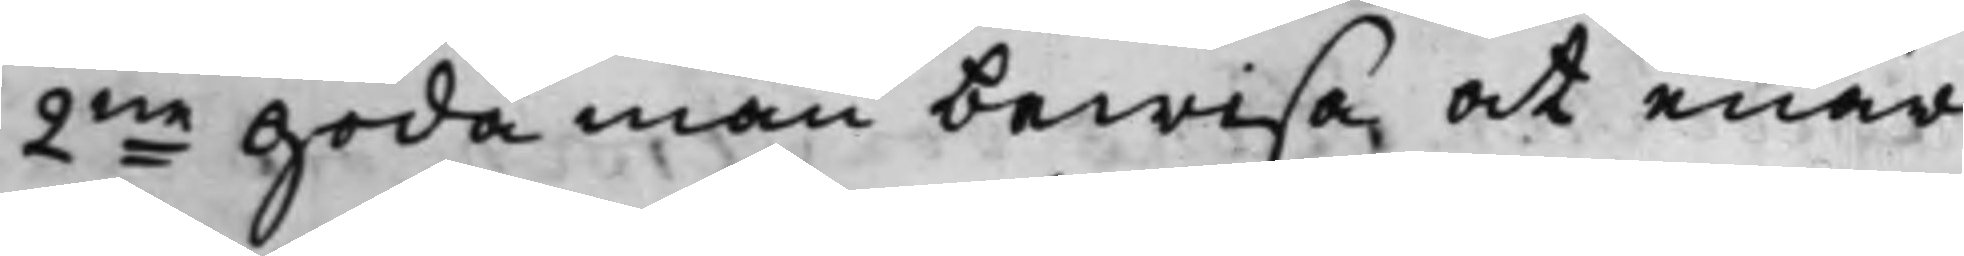2ne goda män bewisa, at enär
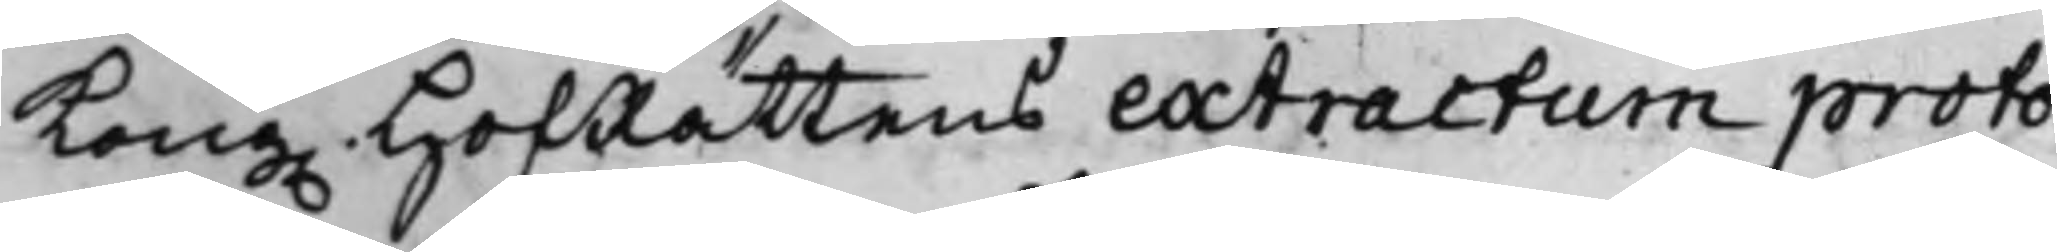Kong. HofRättens extractum proto¬
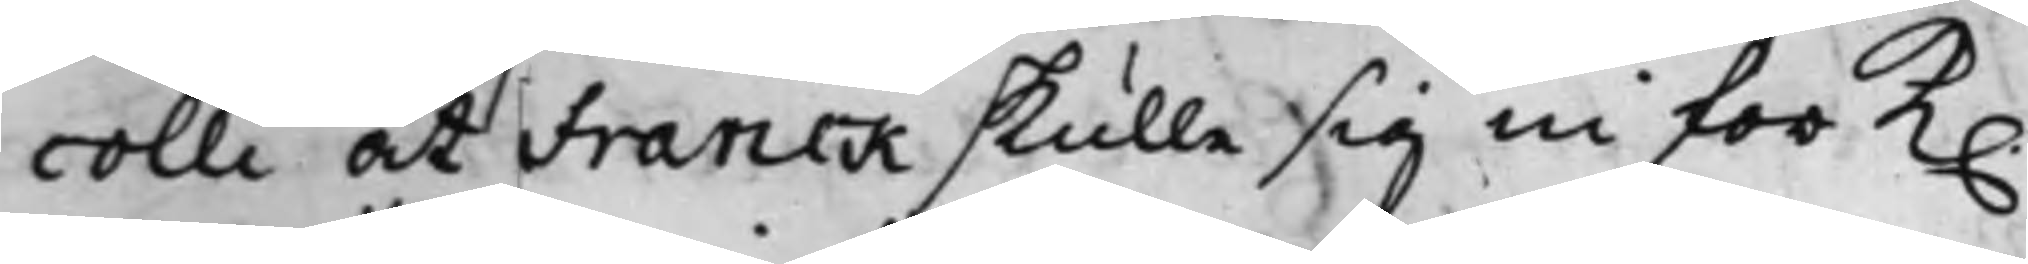colli at Franck skulle sig in för K.
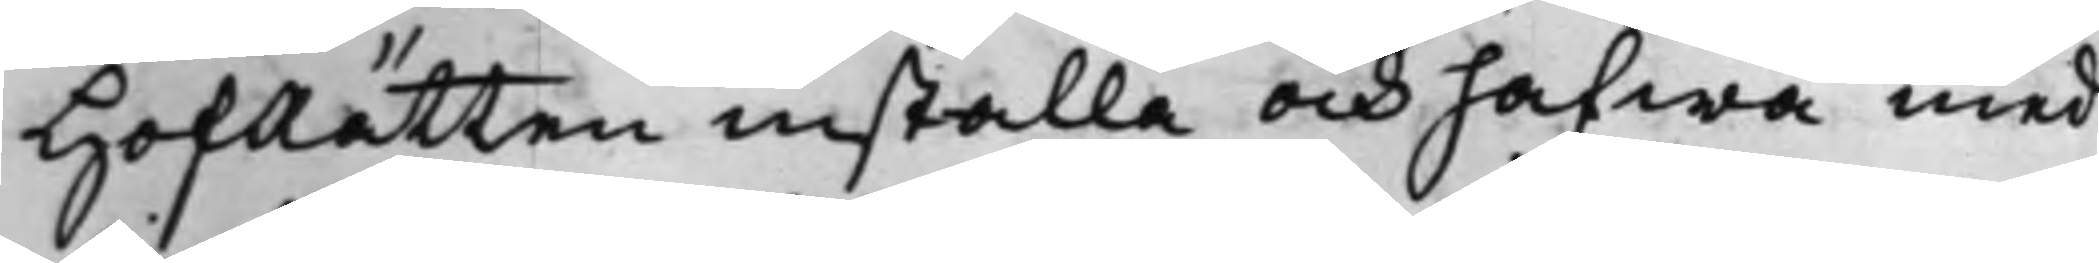HofRätten installa och hafwa med
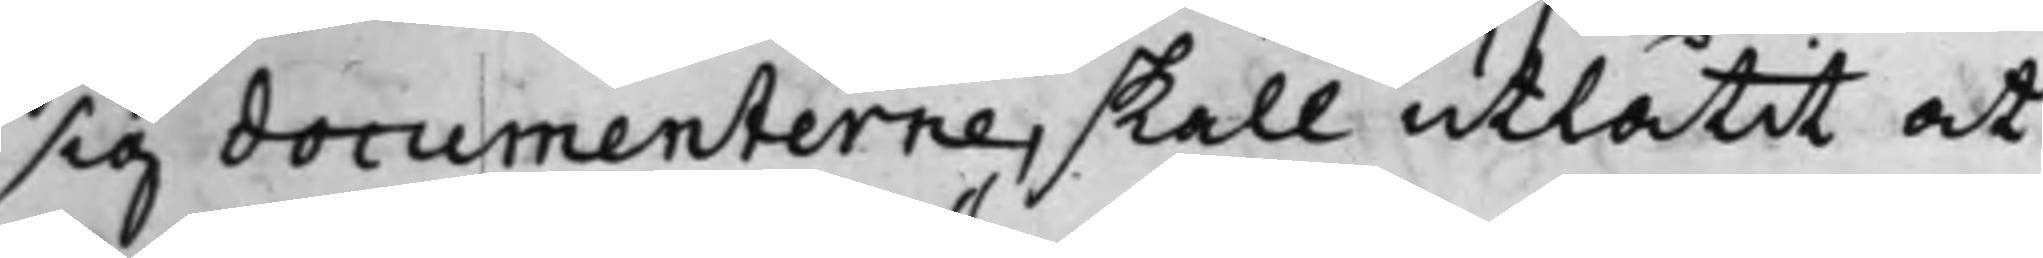sig documenterne, skall utlåtit at
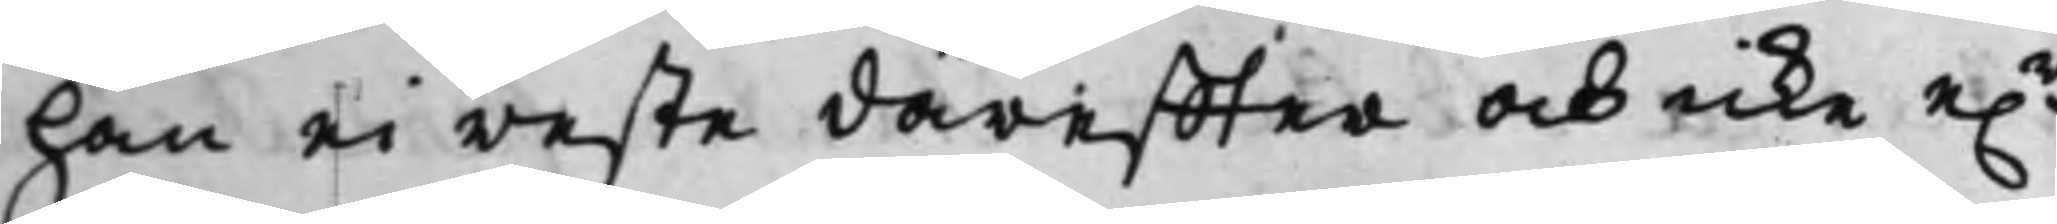han ei reste däreffter och icke e.r
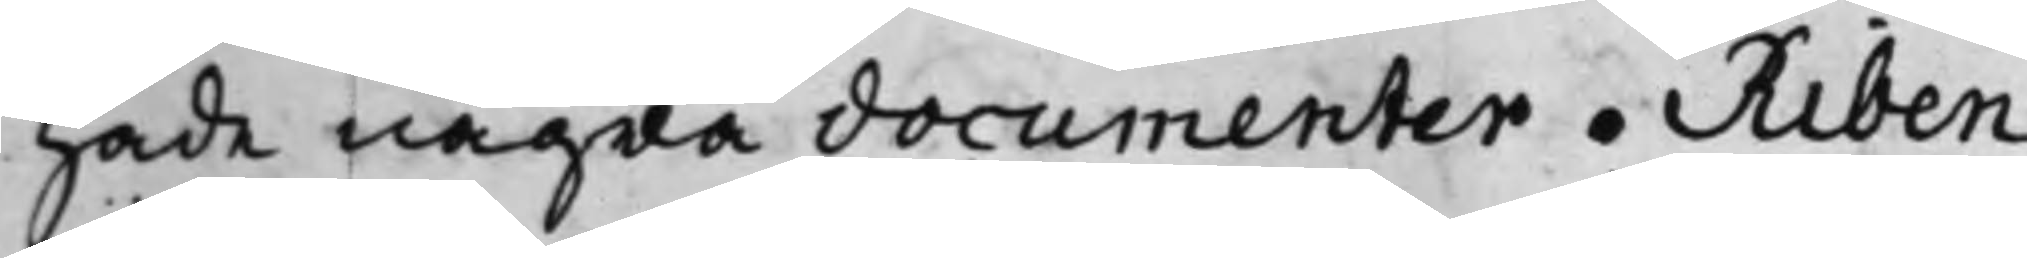hade några documenter. Riben
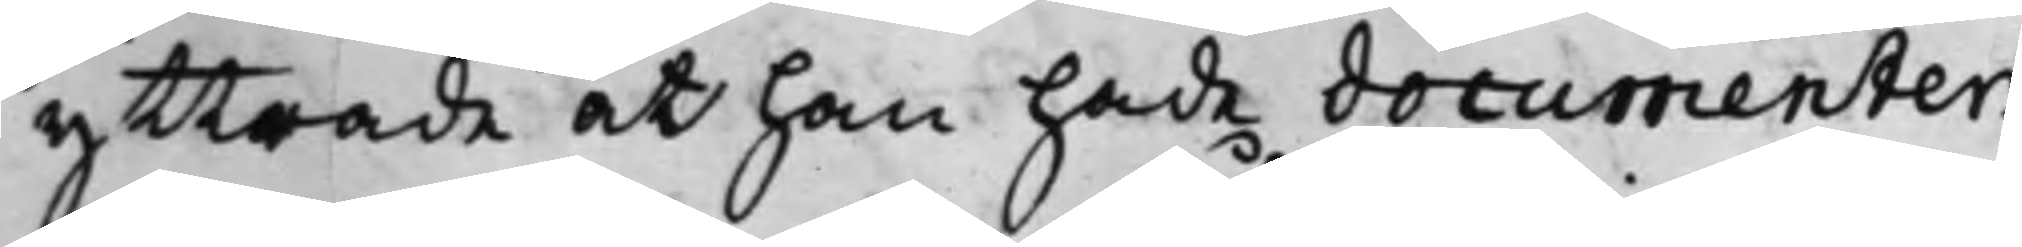yttrade at han hade documenter¬
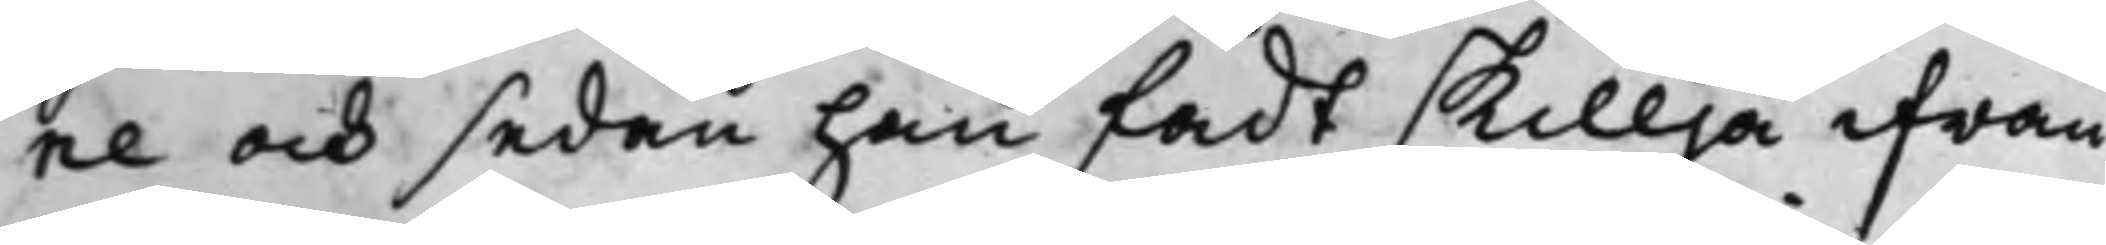ne och sedan han fådt skillja ifrån
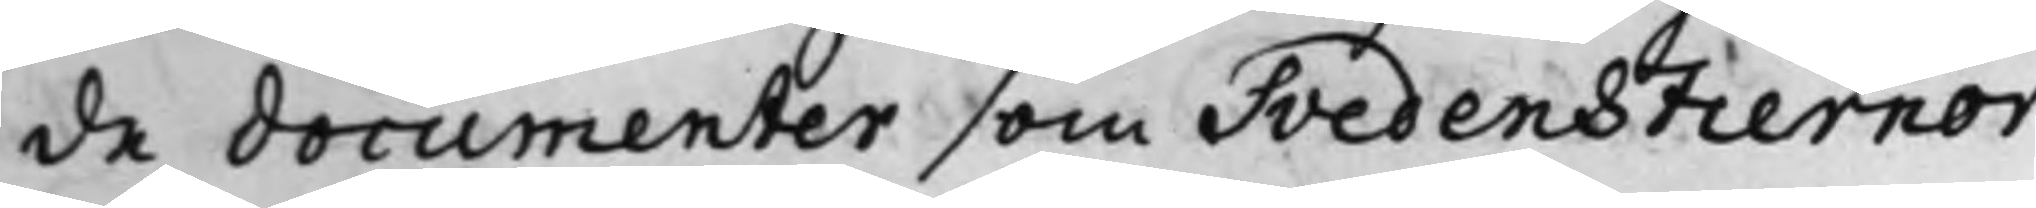de documenter som Svedenstiernor¬
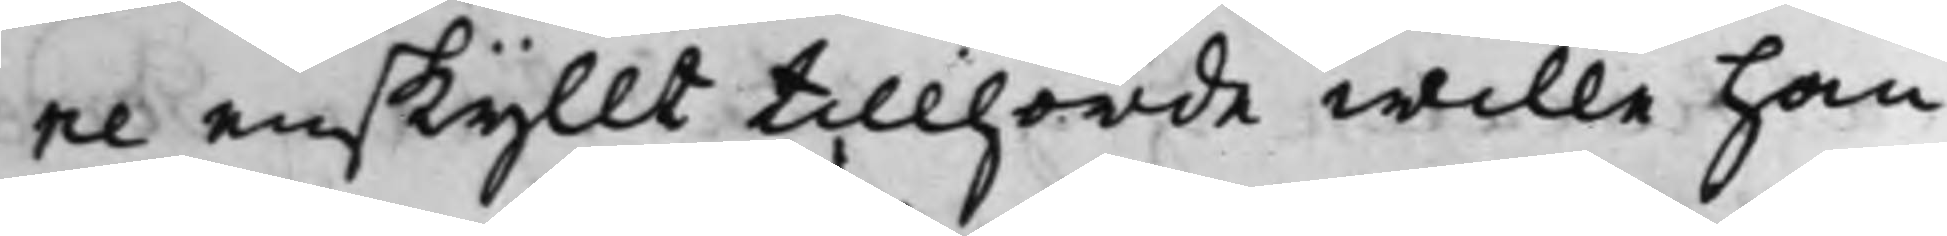ne enskyllt tillhörde wille han
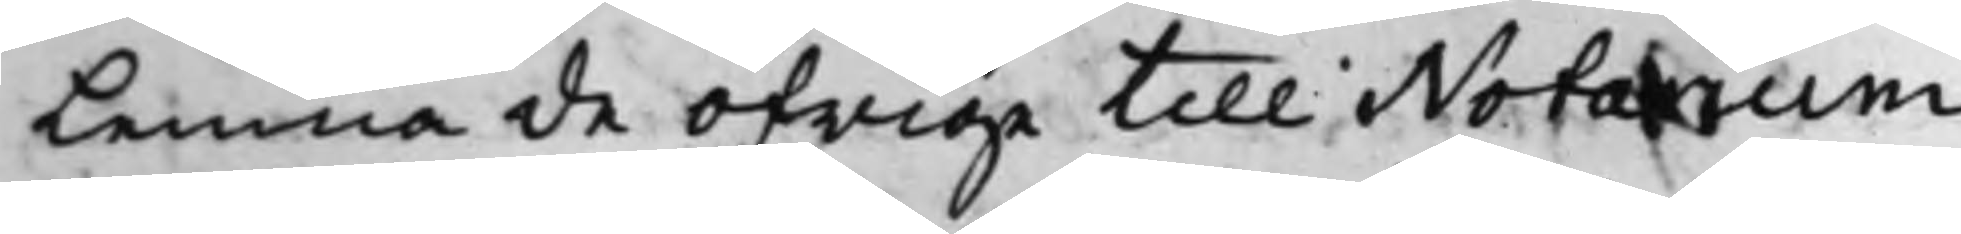lemna de öfrige till Notarium
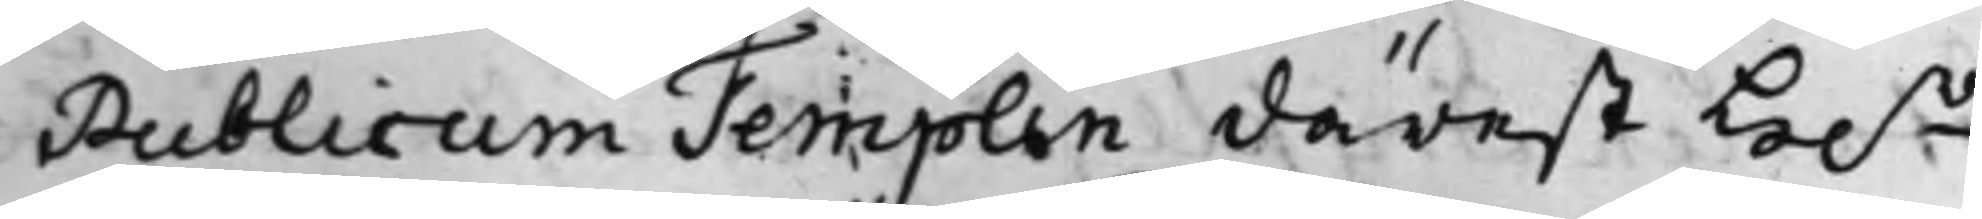Publicum Templin därest H.r
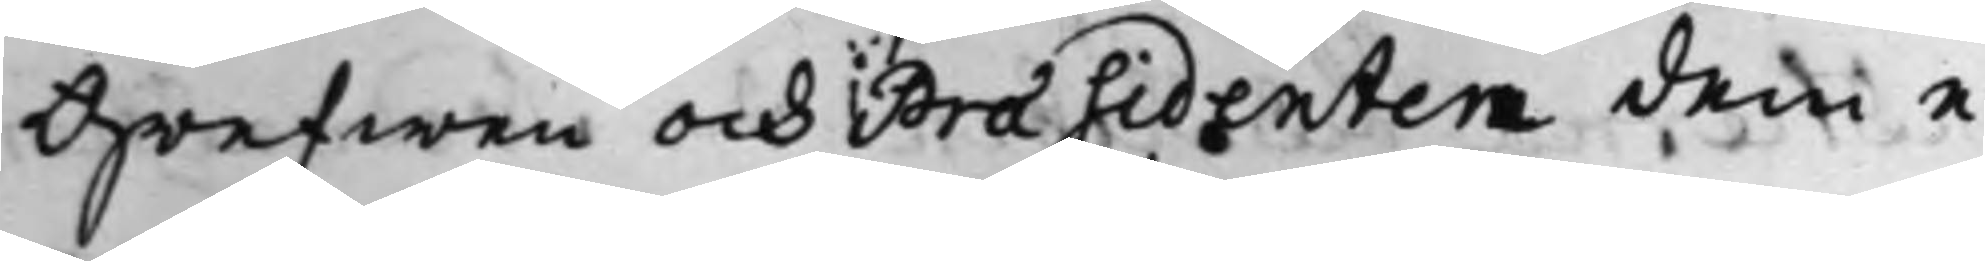Grefwen och Praesidenten dem e¬
